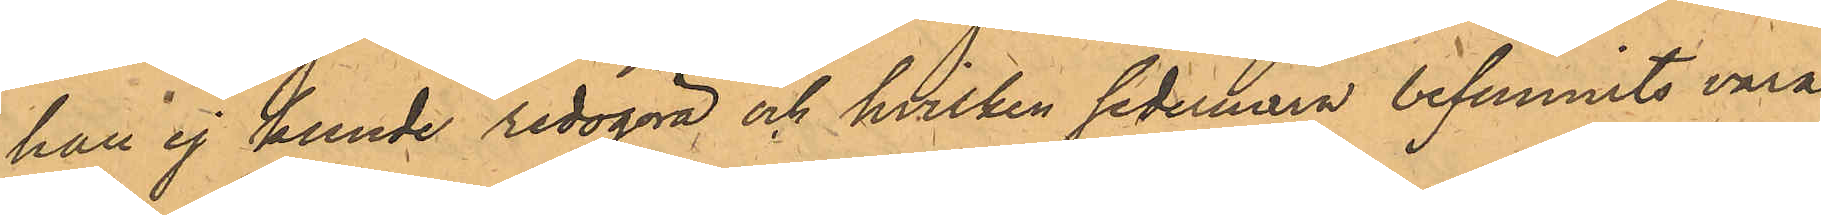han ej kunde redogöra och hvilken sedermera befunnits vara
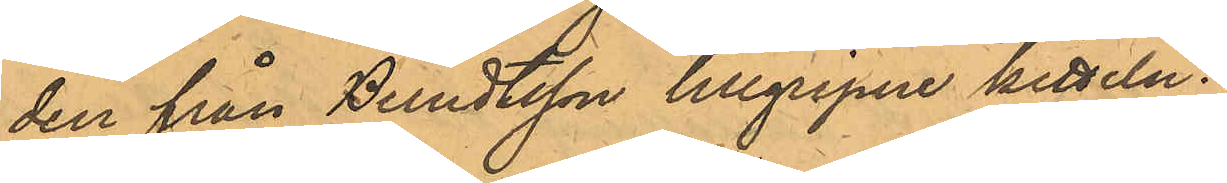den från Berndtsson tillgripne kitteln.
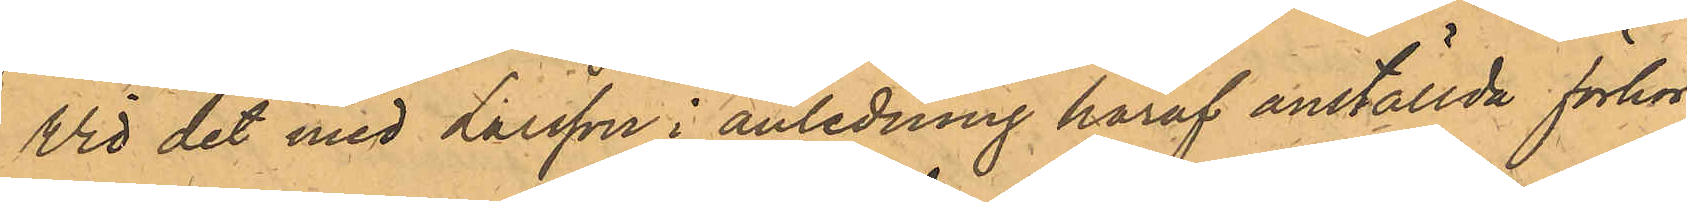Vid det med Larsson i anledning häraf anställda förhör
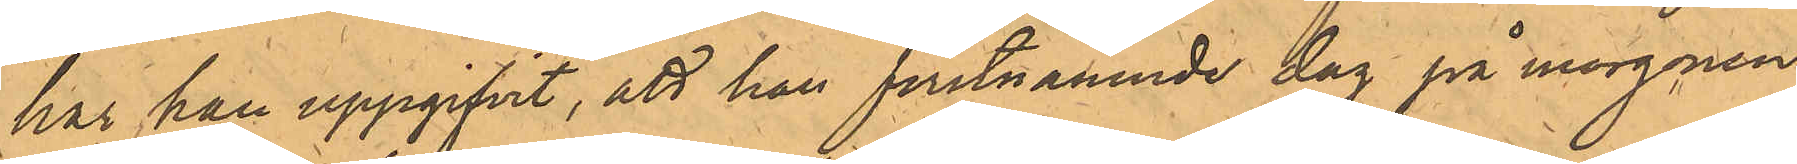har han uppgifvit, att han förstnämnde dag på morgnen
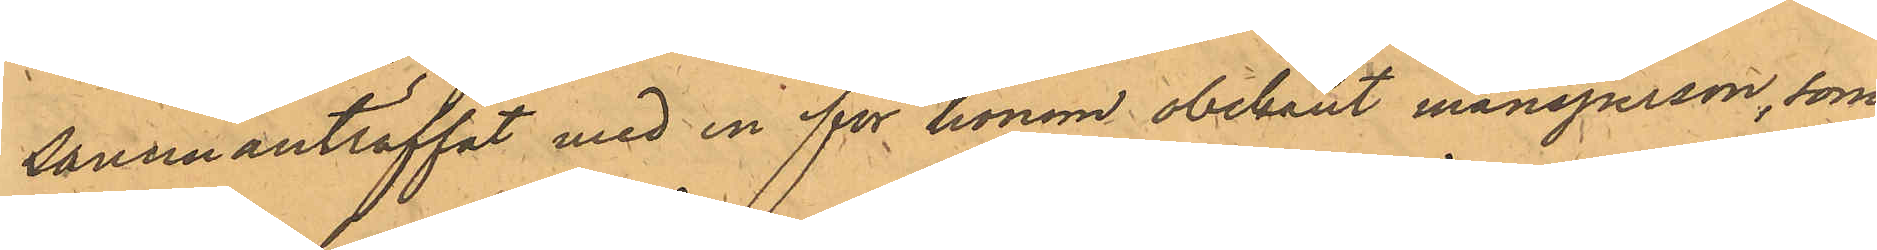sammanträffat med en för honom obekant mansperson, som
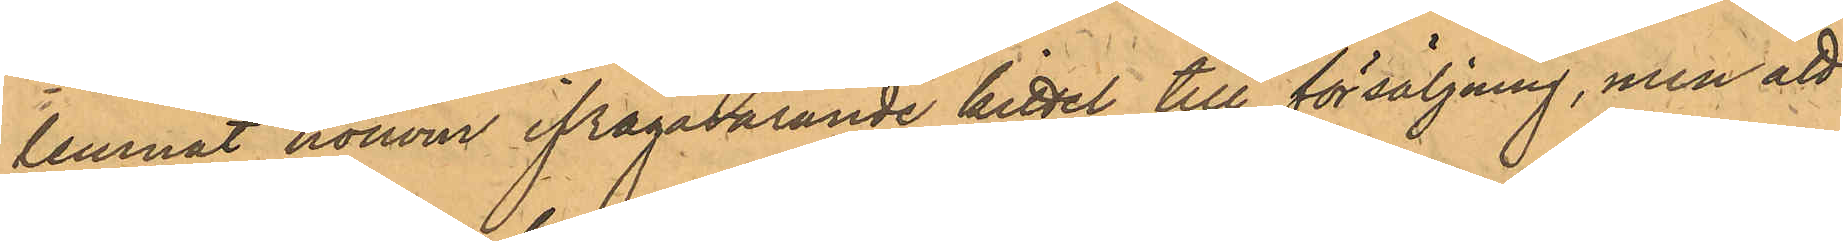lemnat honom ifrågavarande kittel till försäljning, men att
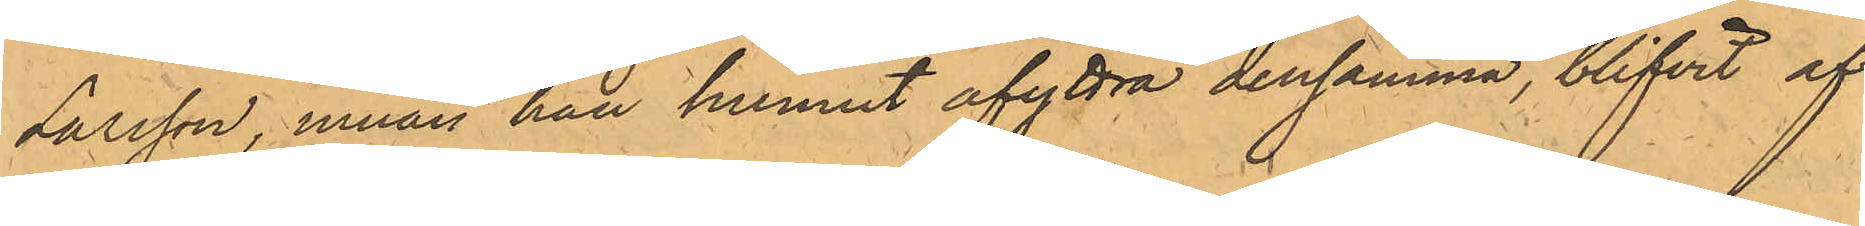Larsson, innan han hunnit afyttra densamma, blifvit af
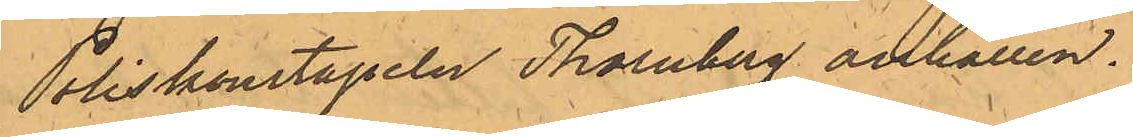Poliskonstapeln Thornberg anhållen.
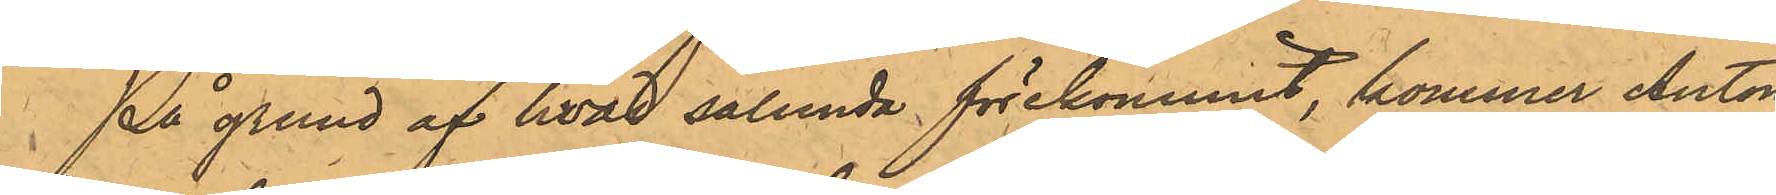På grund af hvad sålunda förekommit, kommer Anton
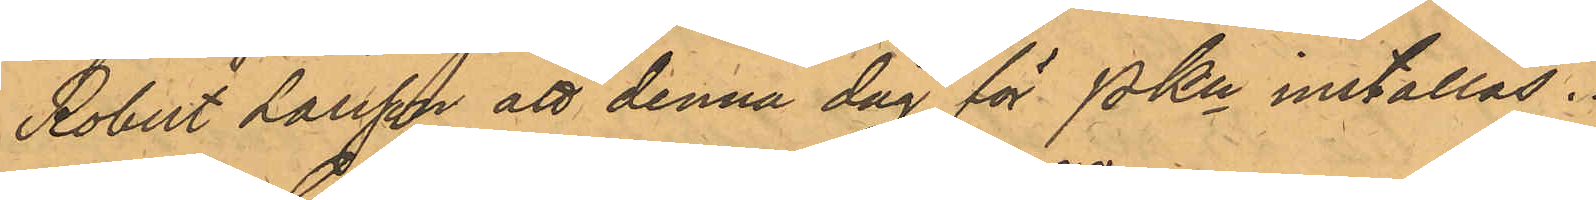Robert Larsson att denna dag för Pkn inställas.
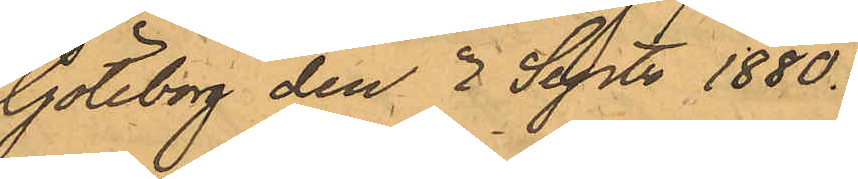Göteborg den 2 Sept 1880.
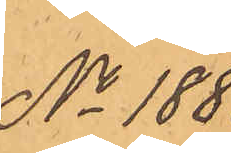No 188.
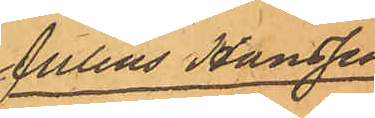Julius Hansson
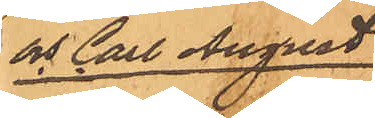och Carl August
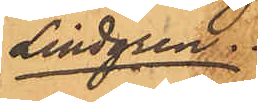Lindgren.
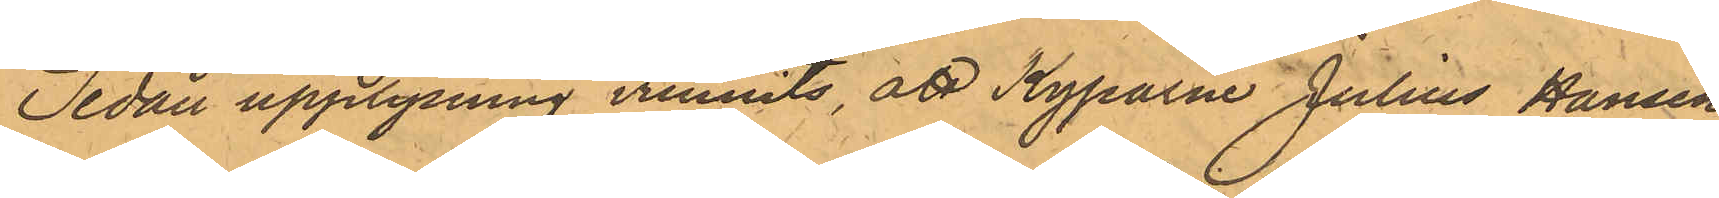Sedan upplysning vunnits att Kyparne Julius Hansen
